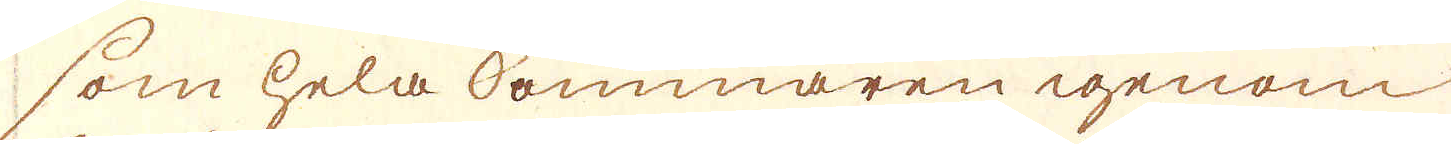som hela sommaren igenom
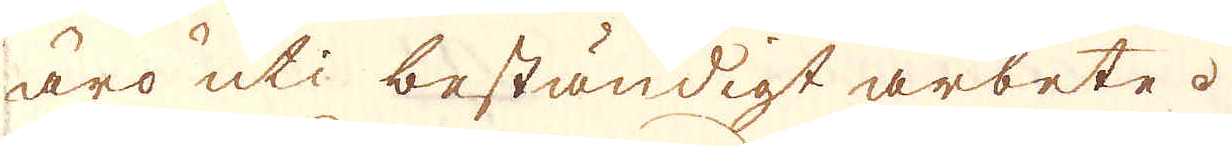äro uti beständigt arbete.
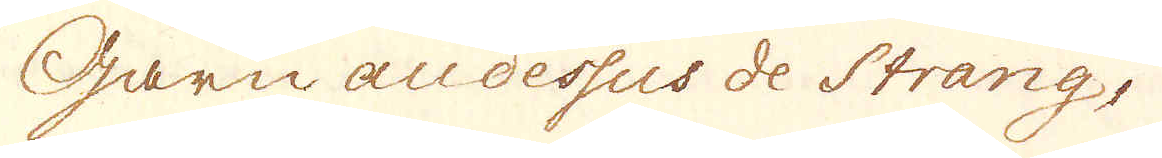Garn audessus de Strang,
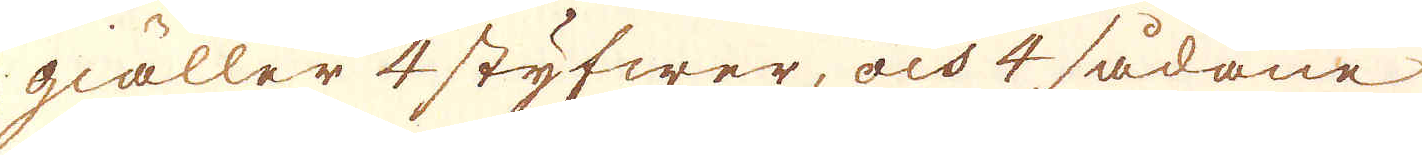giäller 4 styfwer, och 4 sådane
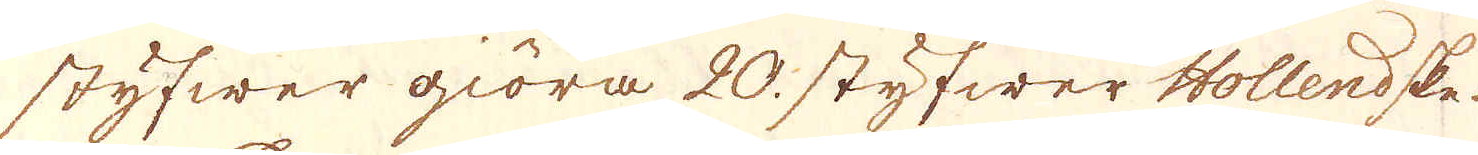styfwer giöra 20. styfwer Hollendske.
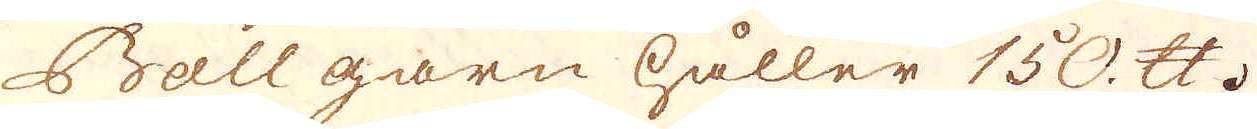Ball garn håller 150. skålpund.
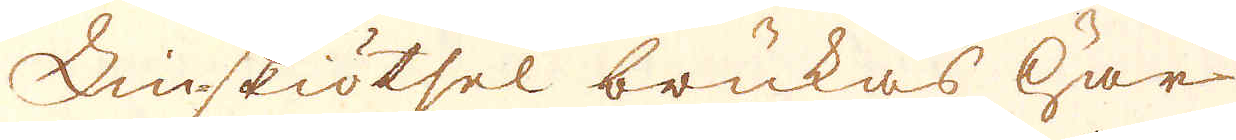Linskiötsel brukas här
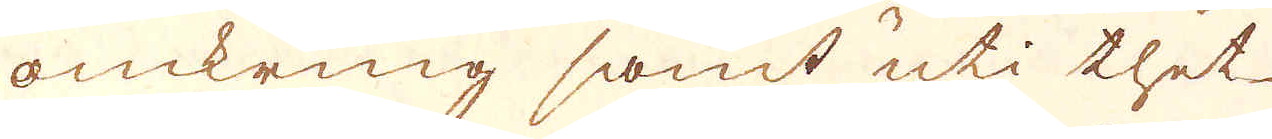omkring samt uti thet
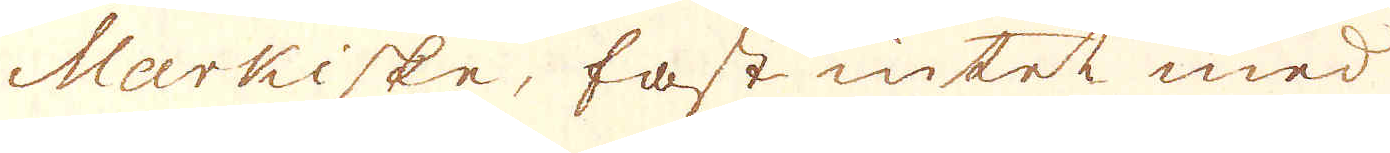Markiske, fast intet med
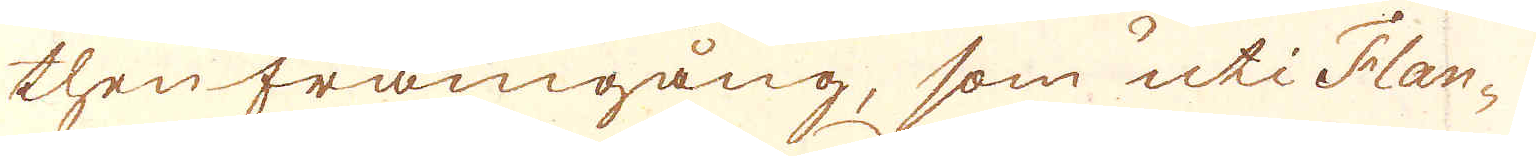then framgång, som uti Flan-
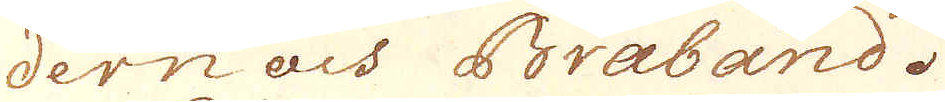dern och Braband.
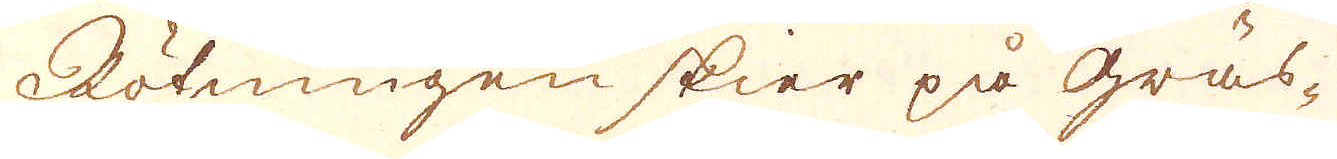Rötningen skier på Gräs-
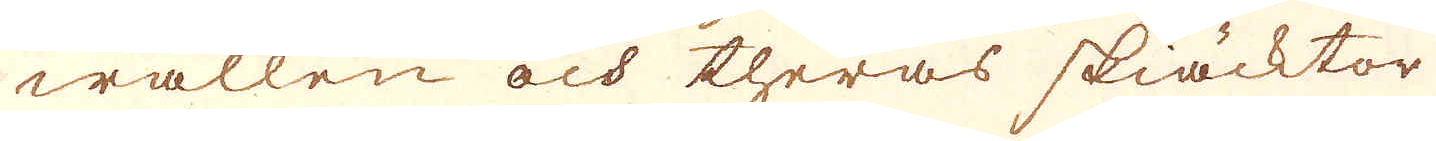wallen och theras skiäcktor
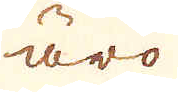äro
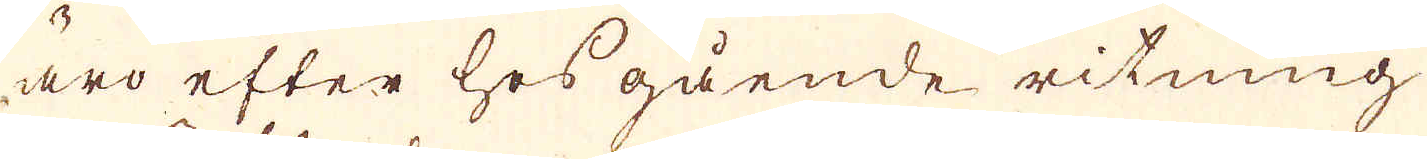äro efter hos gående ritning
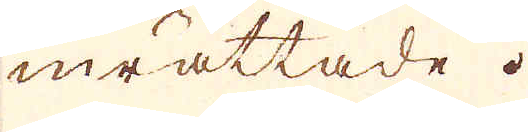inrättade.
